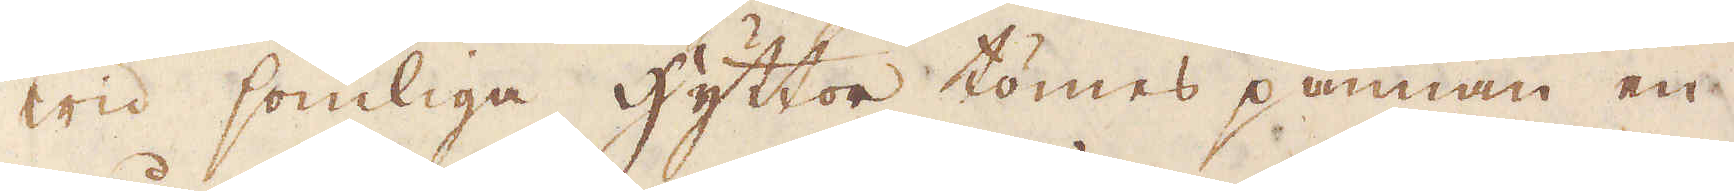Wid somliga hyttor tömes pannan en
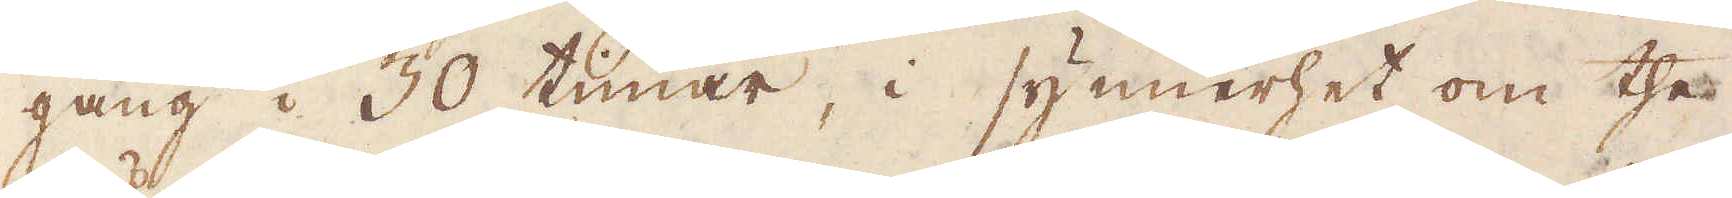gång i 30 timar, i synnerhet om the
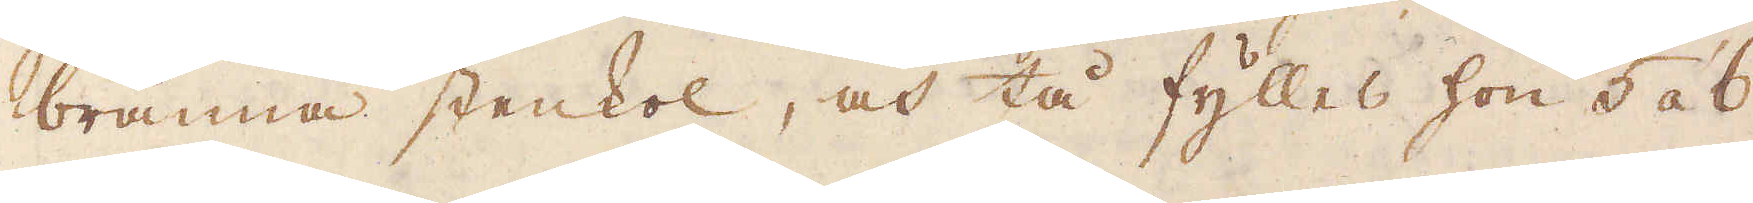bränna stenkol, och tå fylles hon 5 à 6
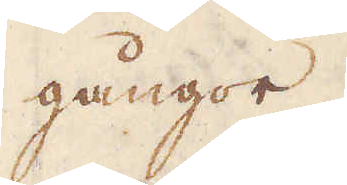gångor.
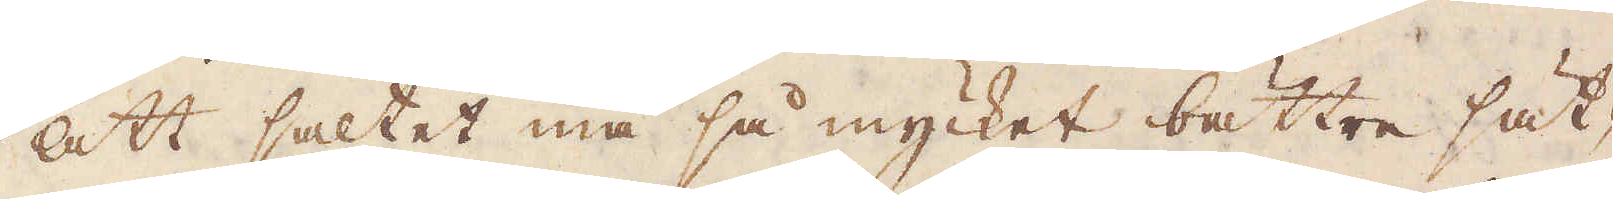Att saltet må så mycket bättre sätt-
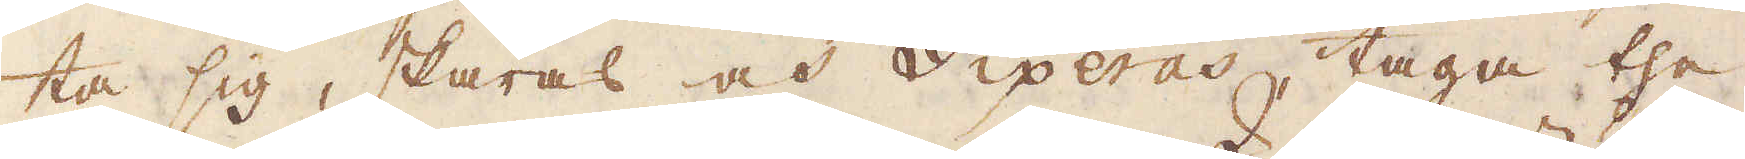ta sig, skäras och Siperas, taga the
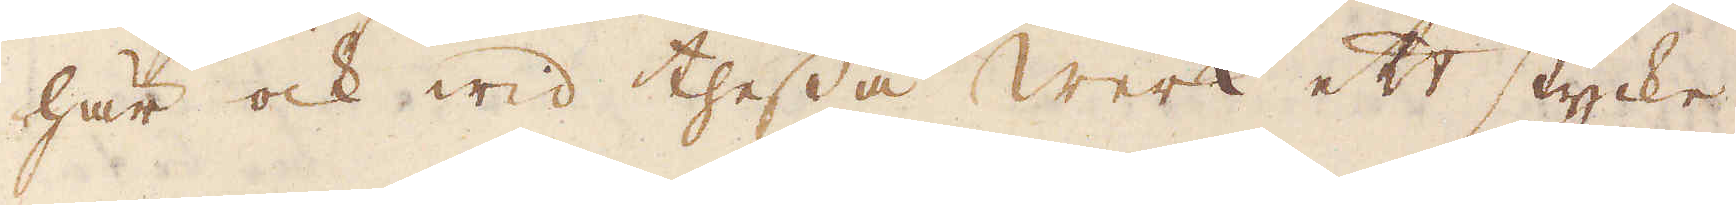här ock wid thessa werk ett stycke,
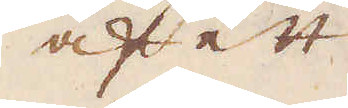af ett
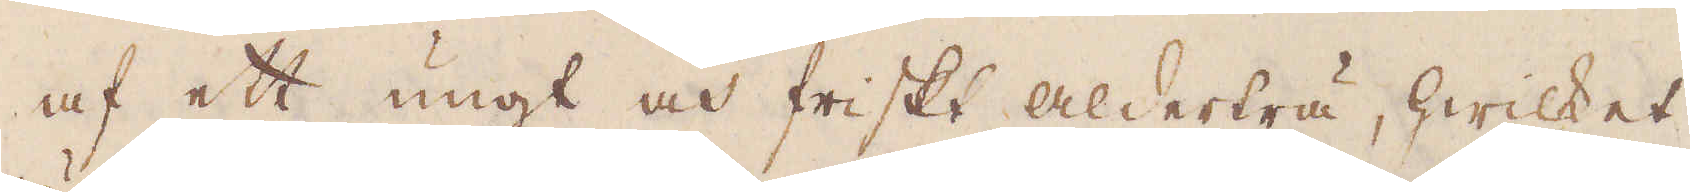af ett ungt och friskt Alderträ, hwilket
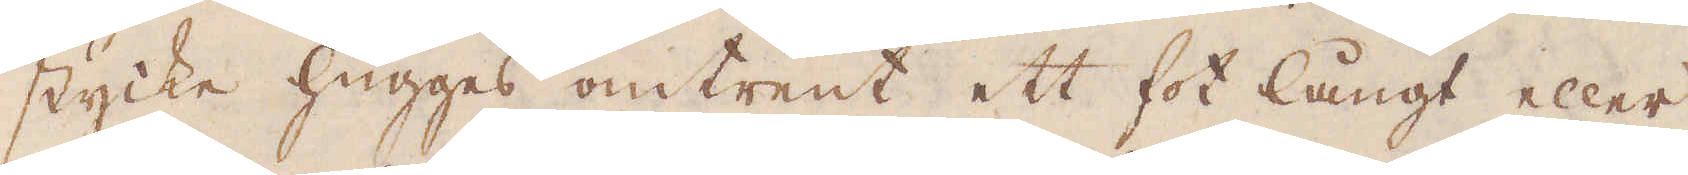stycke hugges omtrent ett fot långt eller
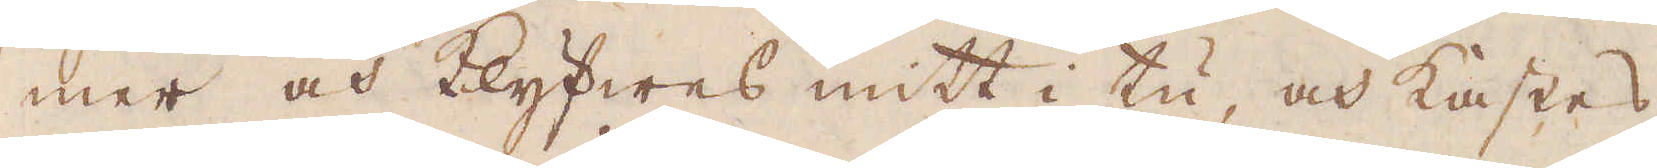mer och klyfwes mitt i tu, och kastes
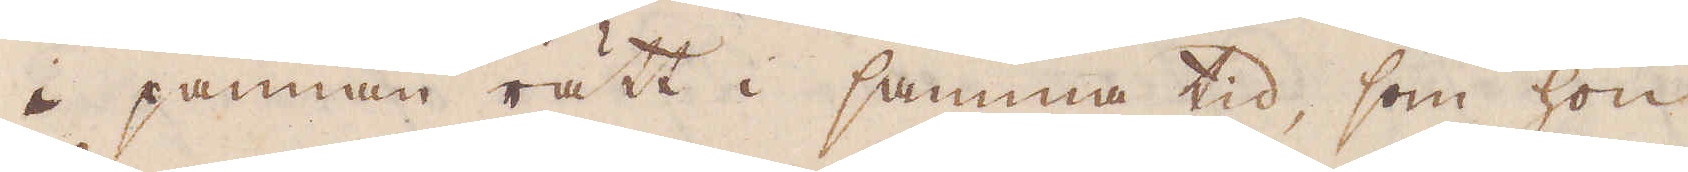i pannan rätt i samma tid, som hon
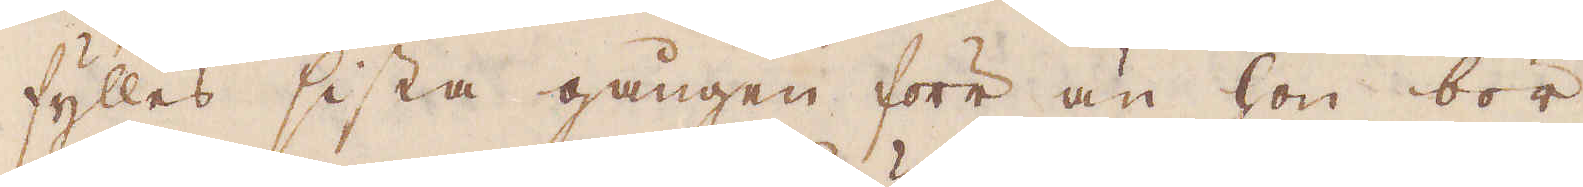fylles sista gången förr än hon bör
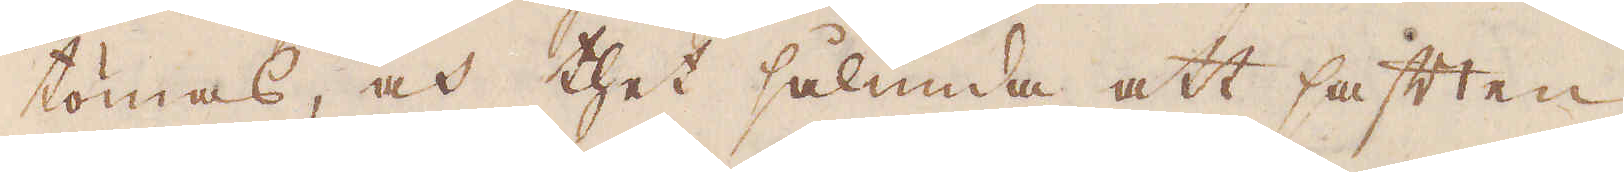tömas, och thet sålunda att saften
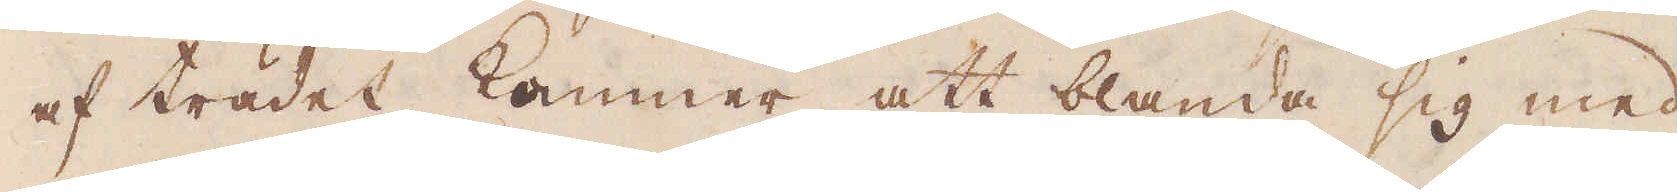af trädet kommer att blanda sig med
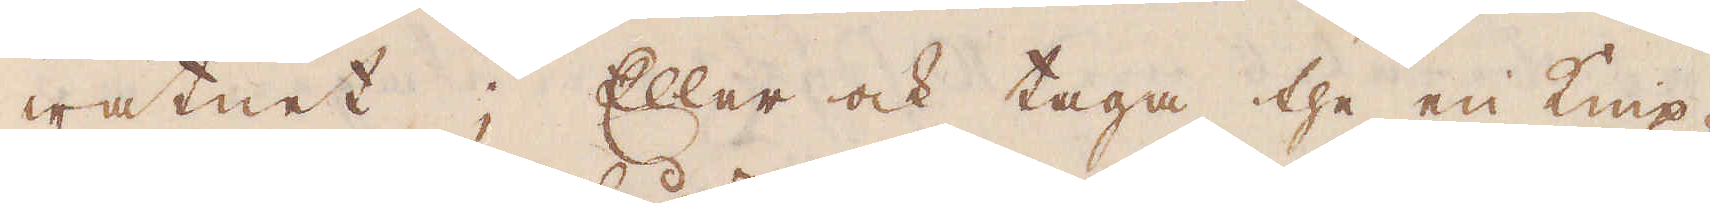watnet; Eller ock taga the en Knip-
